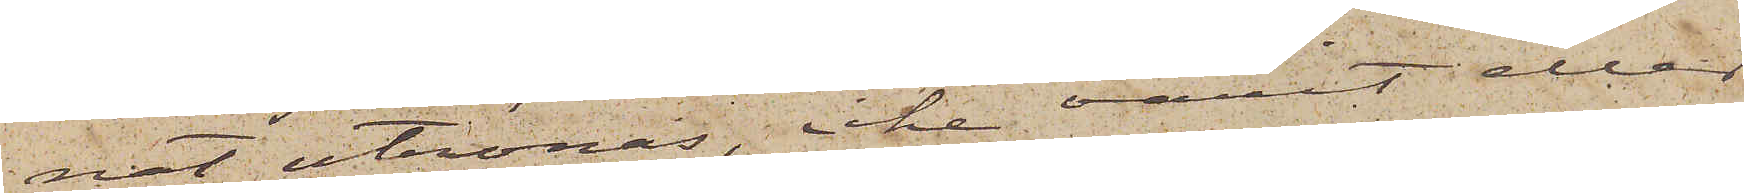nat utrönas, icke varit eller
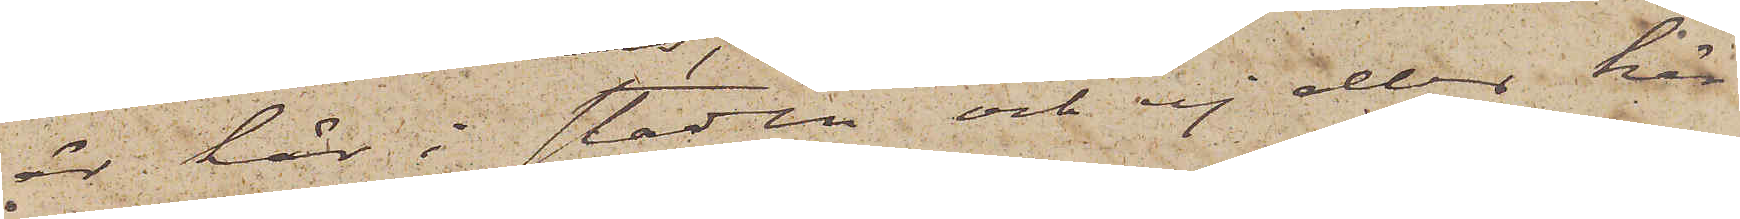är här i staden och ej eller här
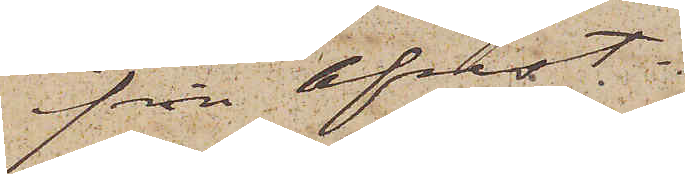ifrån afrest.
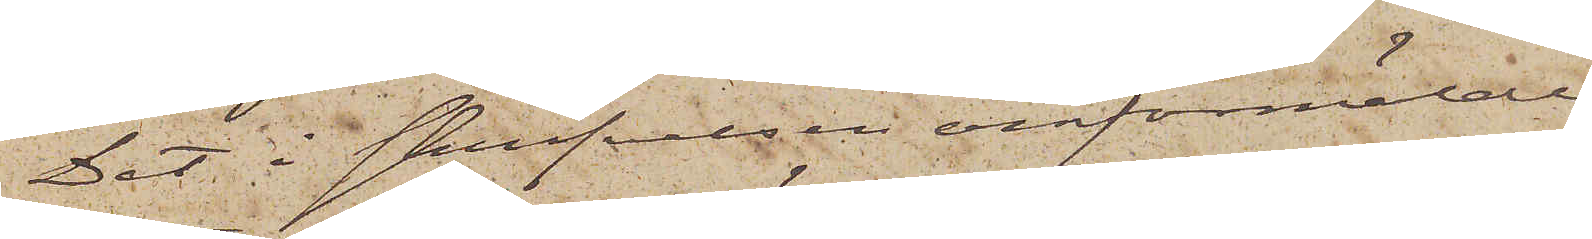Det i skrifvelsen omförmälde
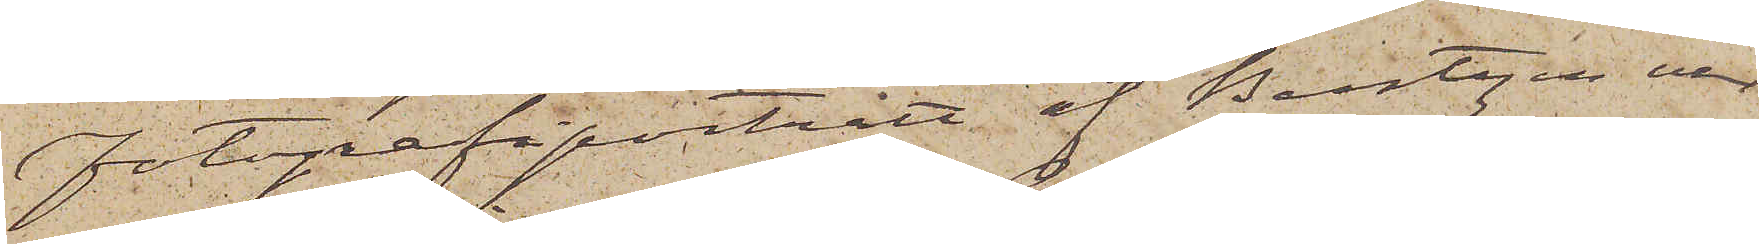fotografiporträtt af Bentzen var
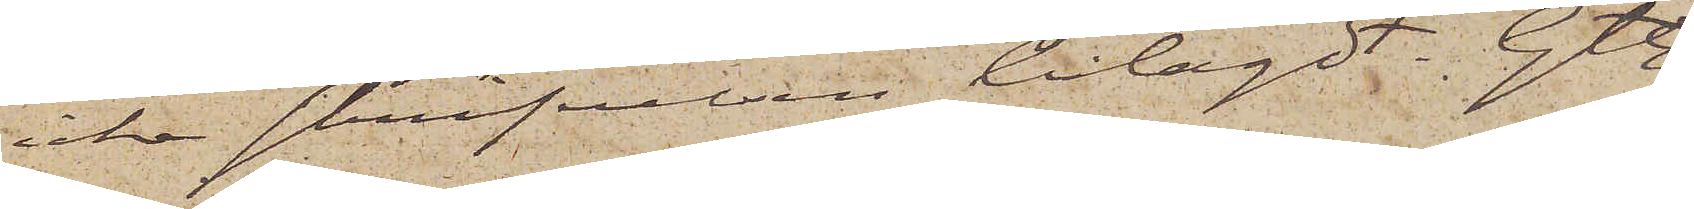icke skrifvelsen bilagdt. Gtbg
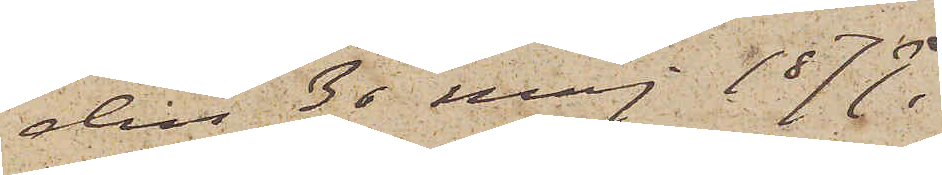den 30 Maj 1879.
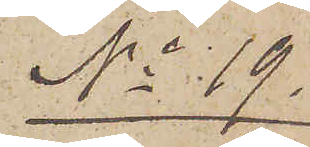No 19.
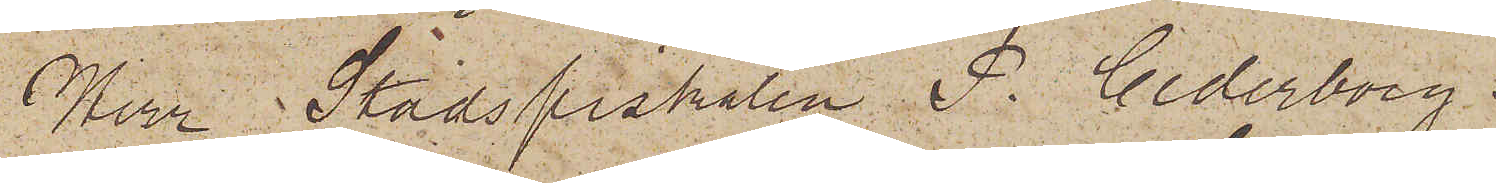Herr Stadsfiskalen P. Cederborg.
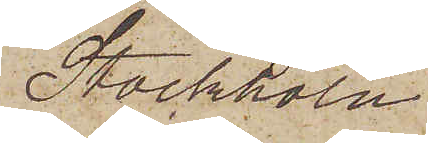Stockholm
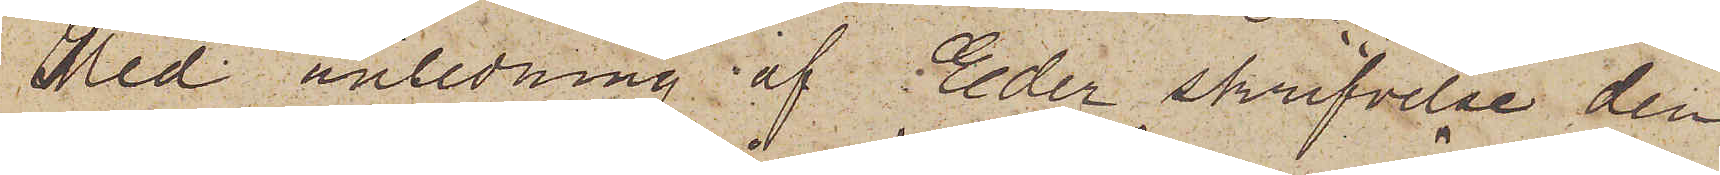Med anledning af Eder skrifvelse den
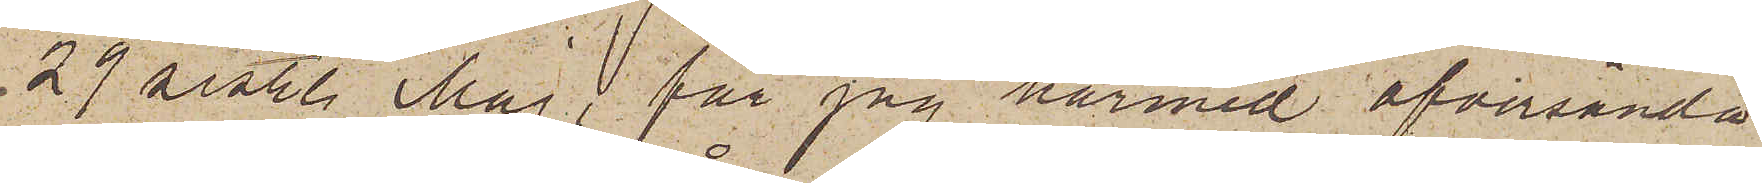29 sistl. Maj, får jag härmed öfversända
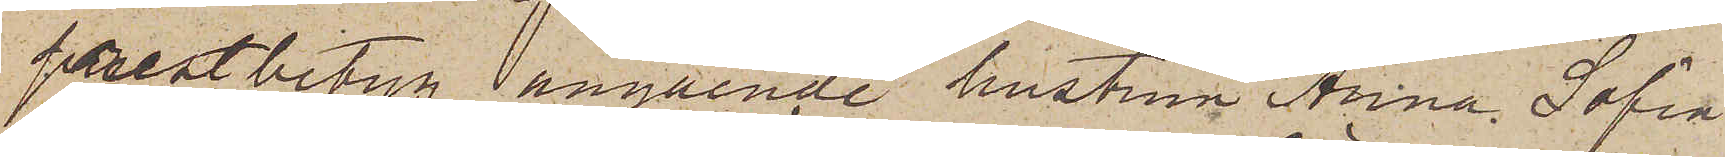prestbetyg angående hustrun Anna Sofia
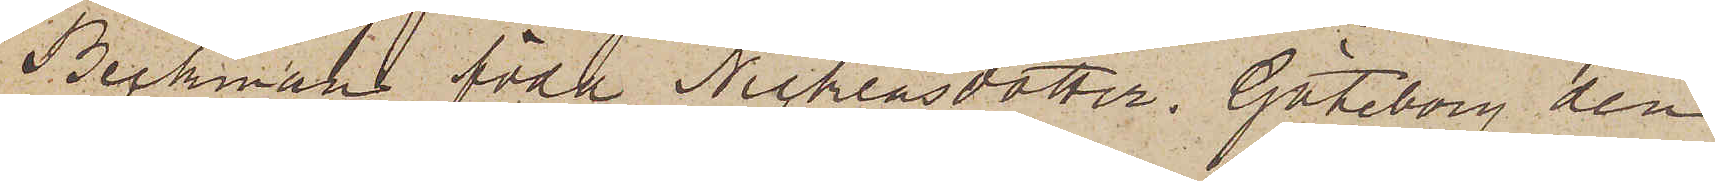Beckman föda Nicklasdotter. Göteborg den
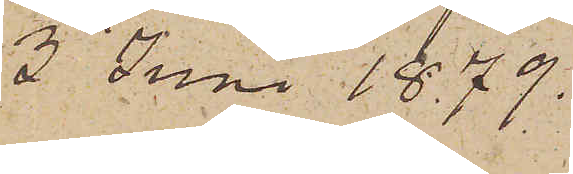3 Juni 1879.
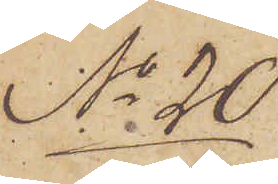No 20
